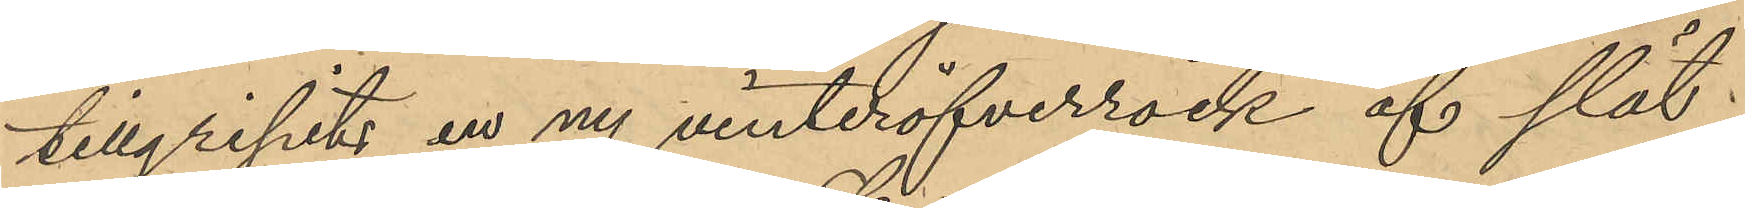tillgripits en ny vinteröfverrock af slät
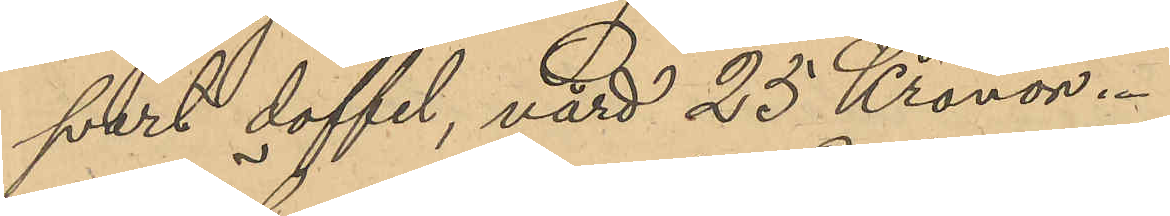svart doffel, värd 25 Kronor.
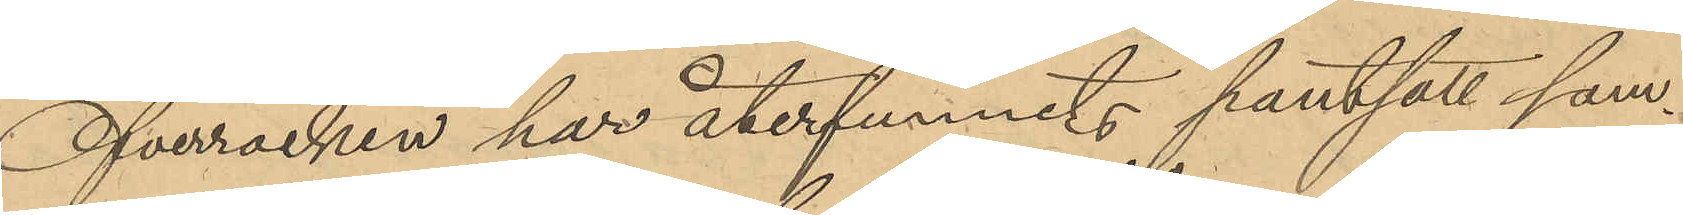Öfverrocken har återfunnits pantsatt sam¬
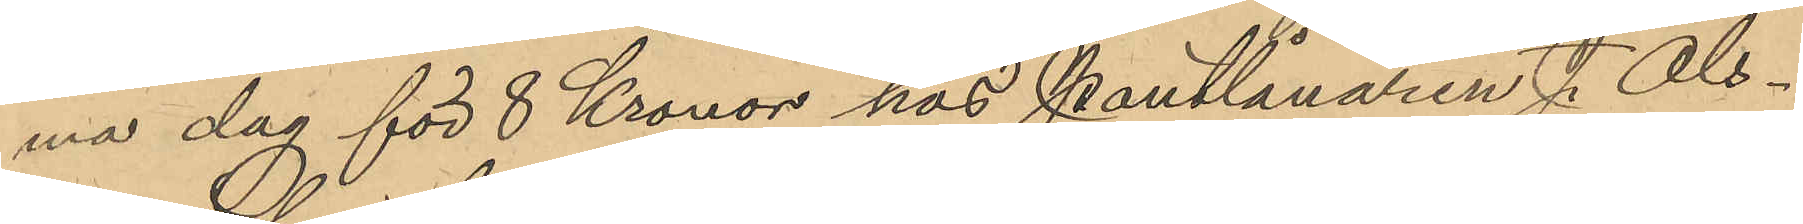ma dag för 8 Kronor hos Pantlånaren J. Ols¬
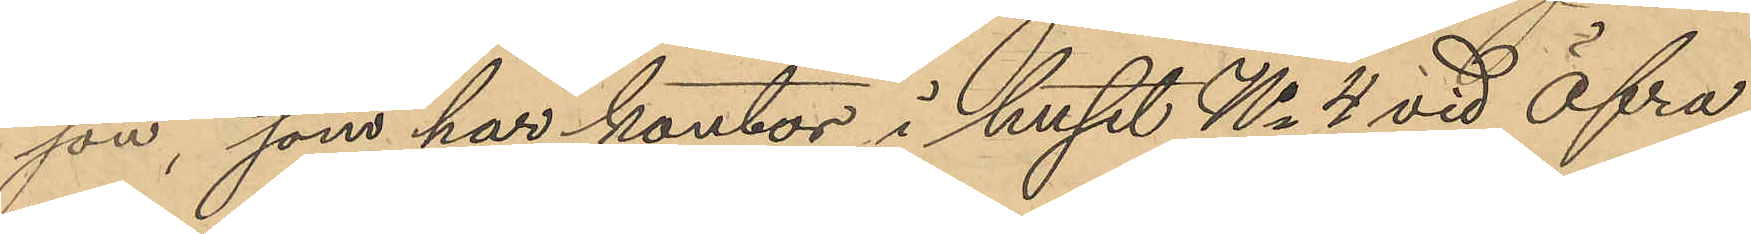son, som har kontor i huset No 4 vid Öfra
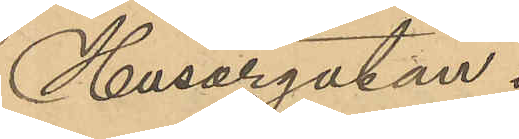Husargatan.
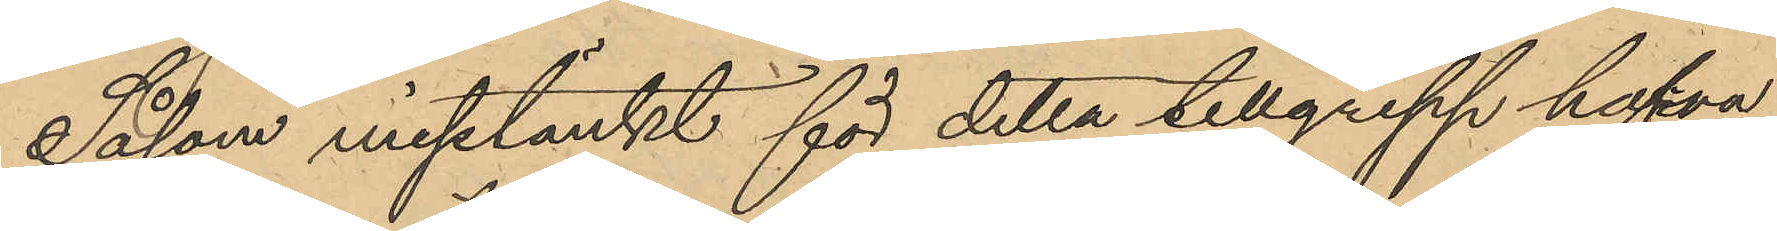Såsom misstänkt för detta tillgrepp hafva
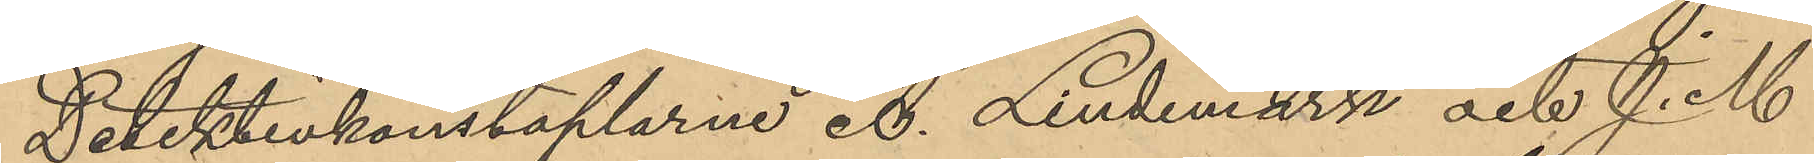Detektivkonstaplarne A. Lindemark och J. M.
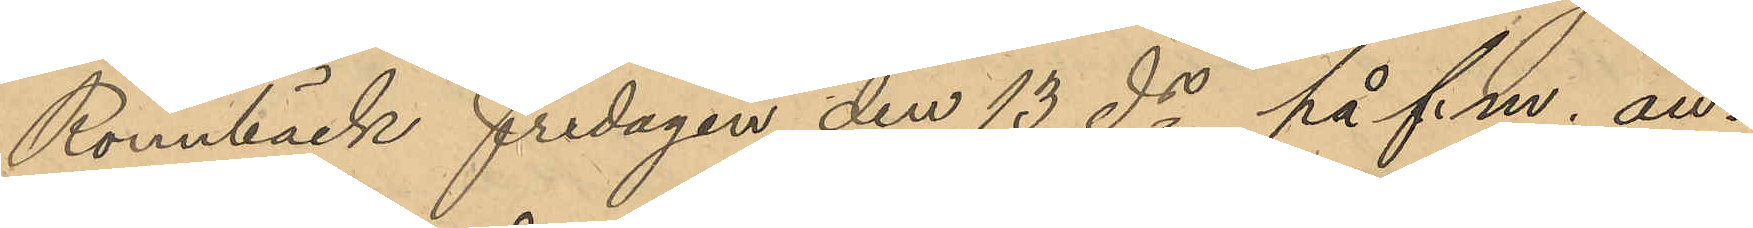Rönnbäck fredagen den 13 ds på f.m. an¬
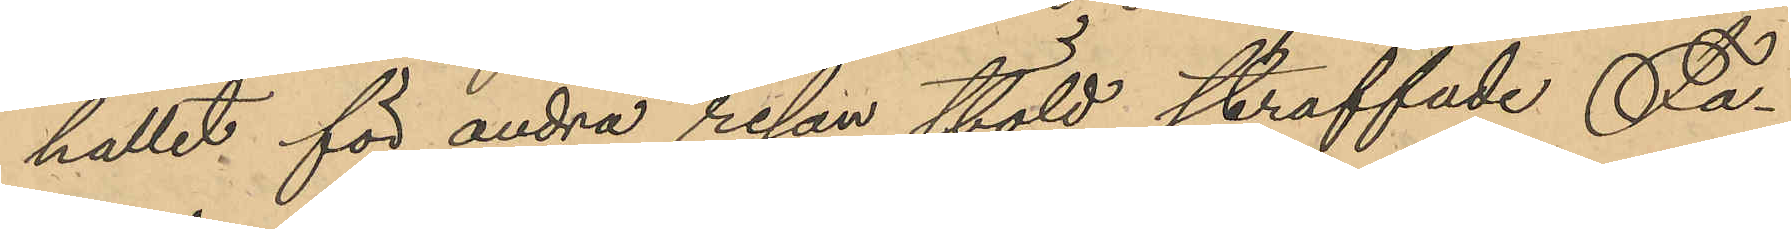hållit för andra resan stöld straffade Fa¬
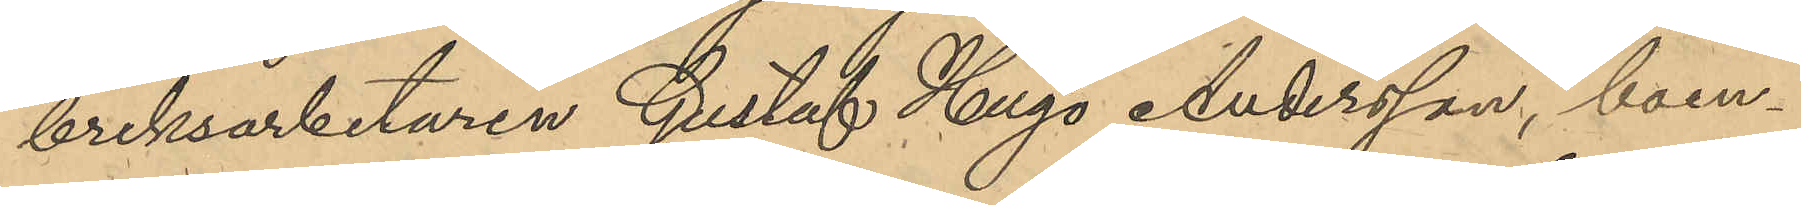briksarbetaren Gustaf Hugo Andersson, boen¬
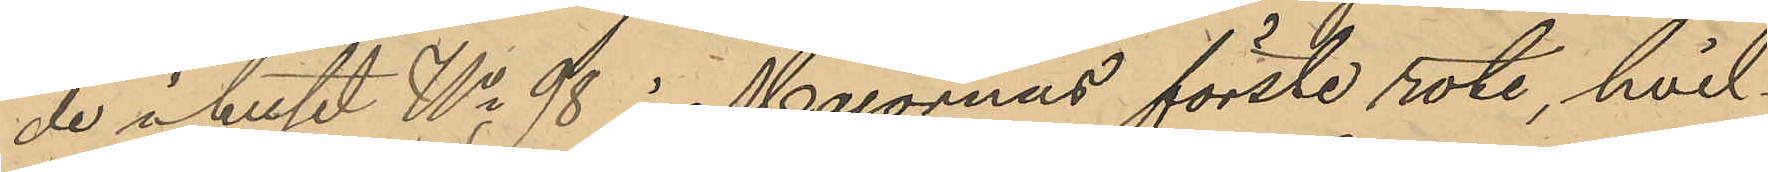de i huset No 98 i Majornas förste rote, hvil¬
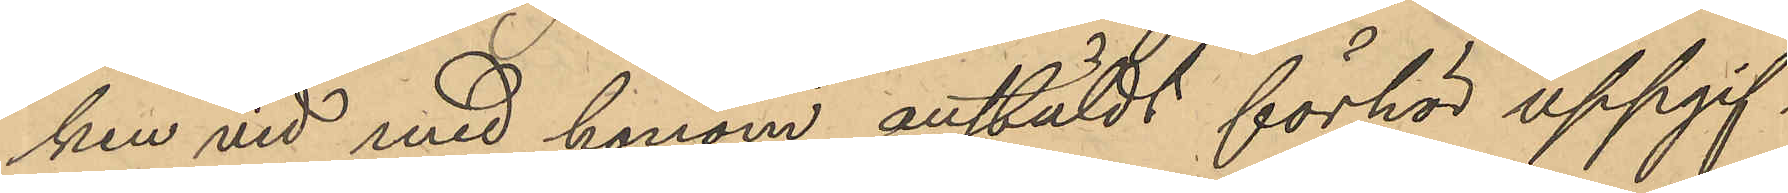ken vid med honom anstäldt förhör uppgif¬
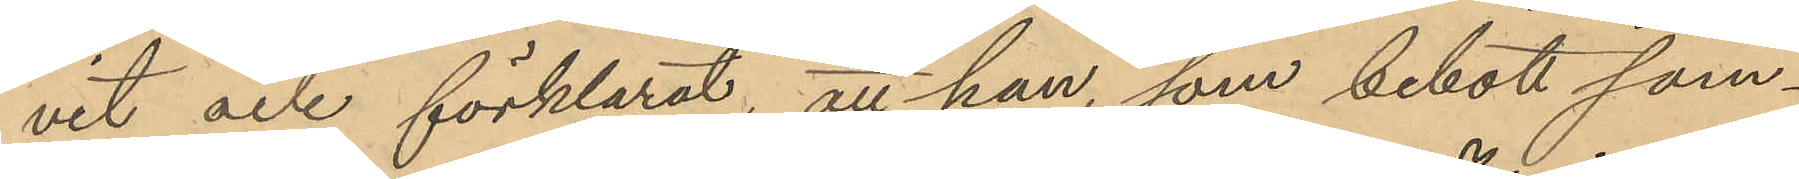vit och förklarat, att han, som bebott sam¬
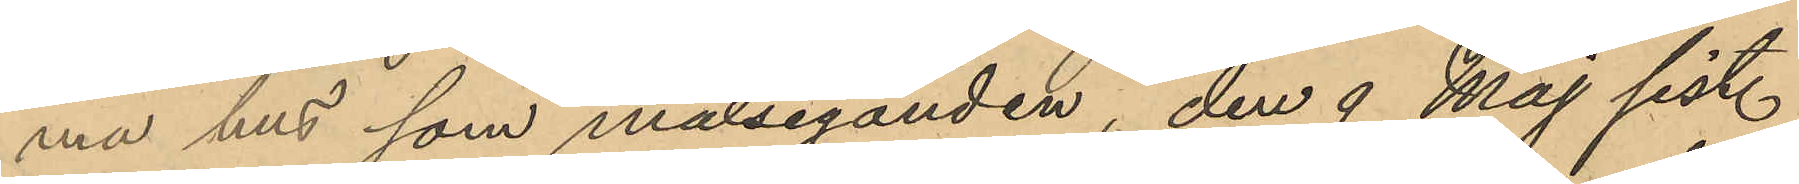ma hus som målseganden, den 9 Maj sist.
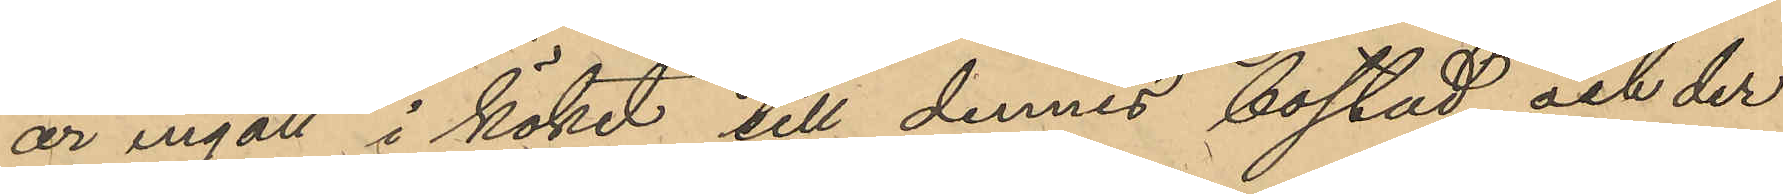år ingått i köket till dennes bostad och der
